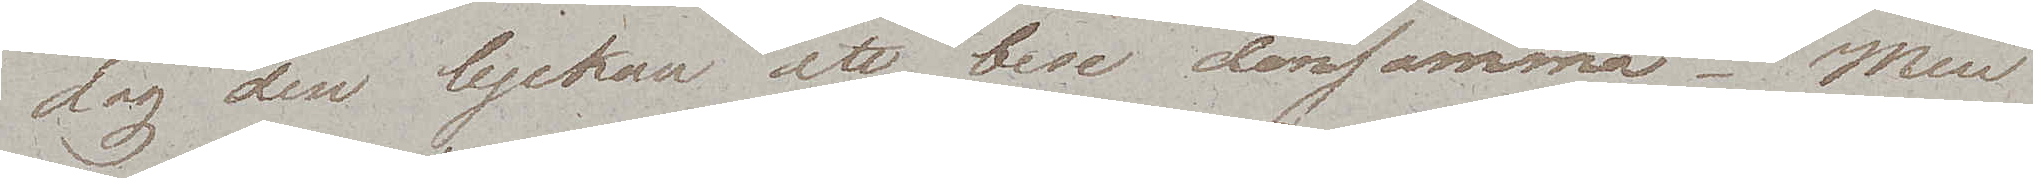dag den lyckan att bese densamma – Men
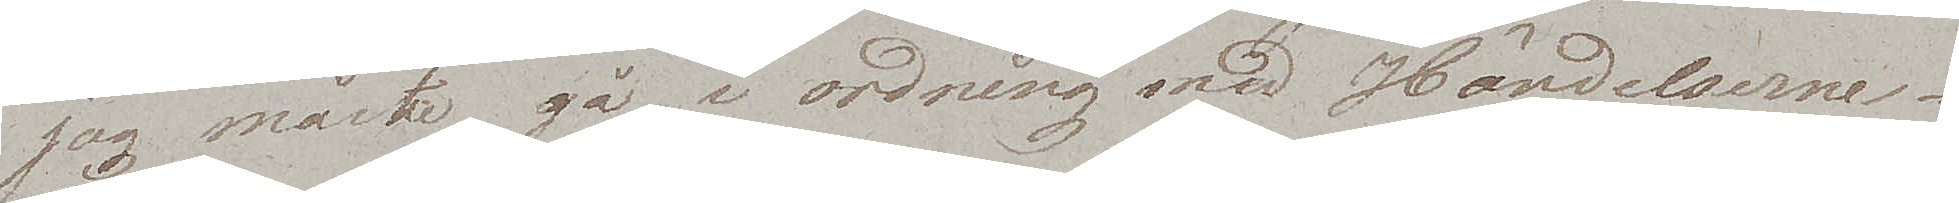jag måste gå i ordning med Händelserne. 
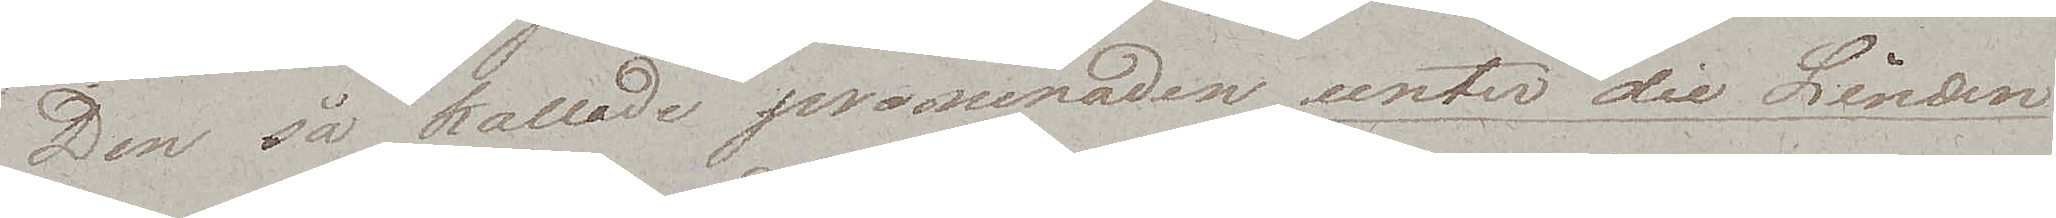Den så kallade promenaden unter die Linden
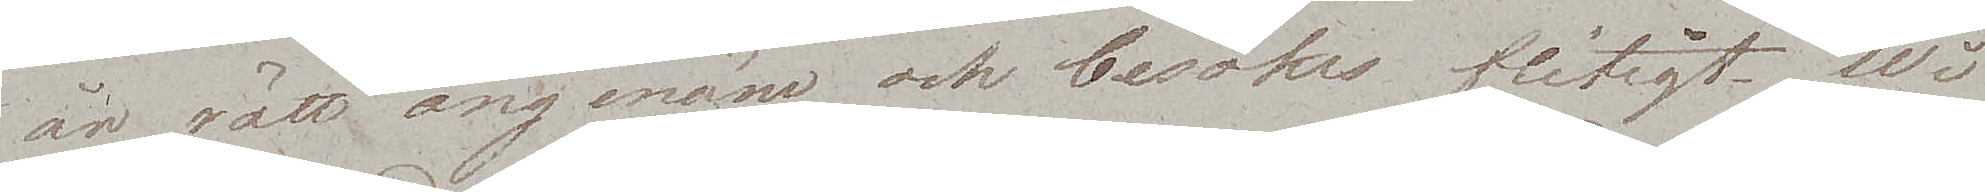är rätt angenäm och besöks flitigt. Wi
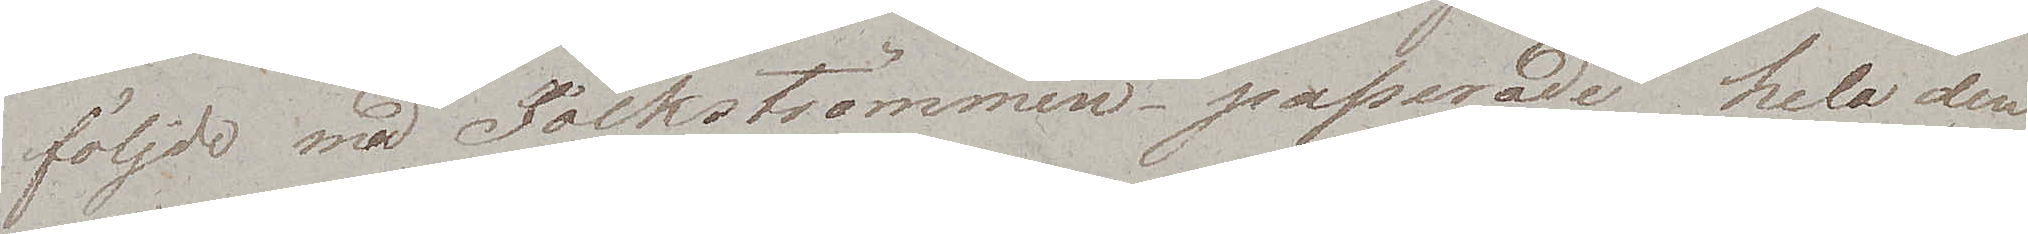följde med Folkströmmen, passerade hela den
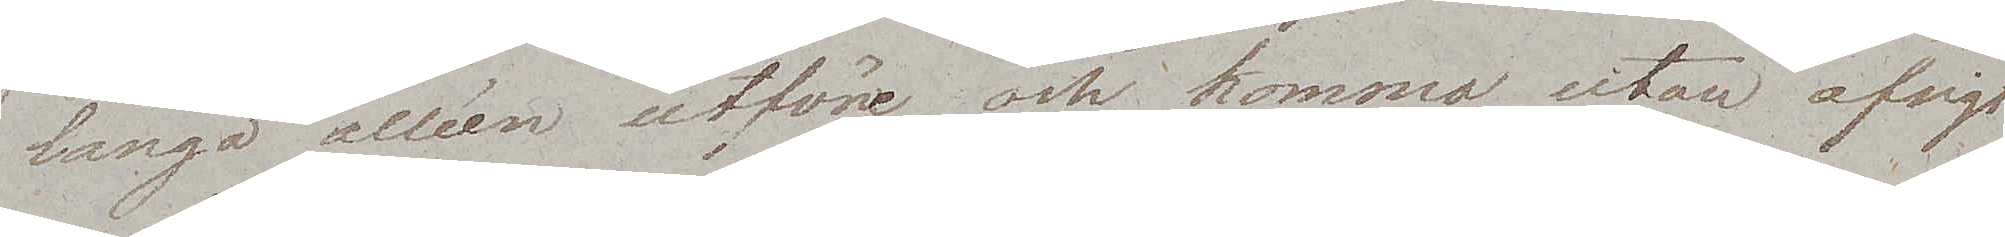långa alléen utföre och kommo utan afsigt
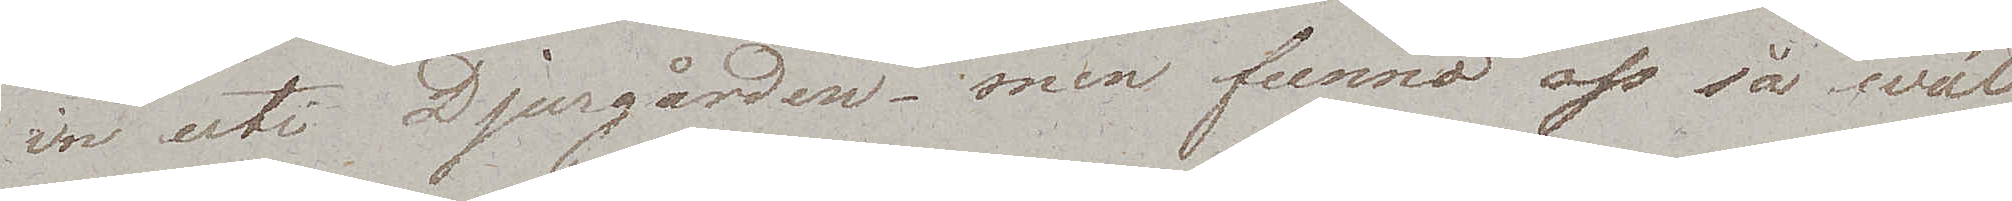in uti Djurgården – men funno oss så wäl
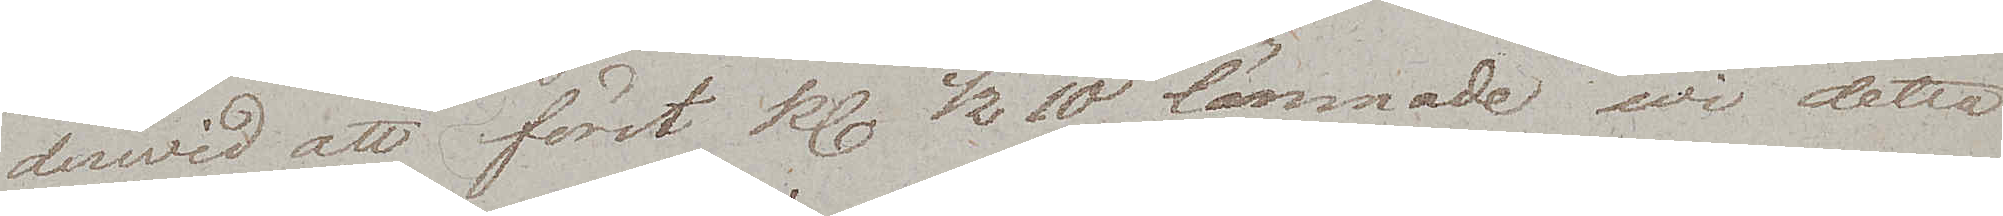derwid att först kl. ½ 10 lämnade wi detta
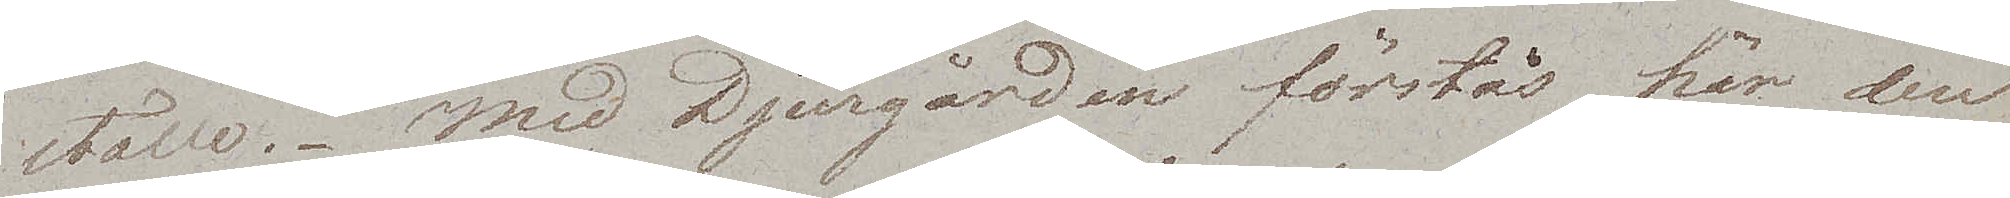ställe. Med Djurgården förstås här den
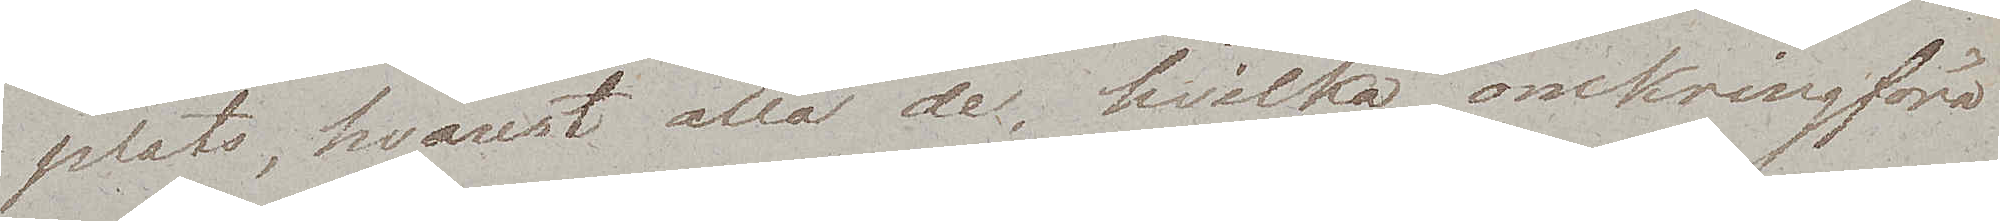plats, hvarest alla de, hvilka omkringföra
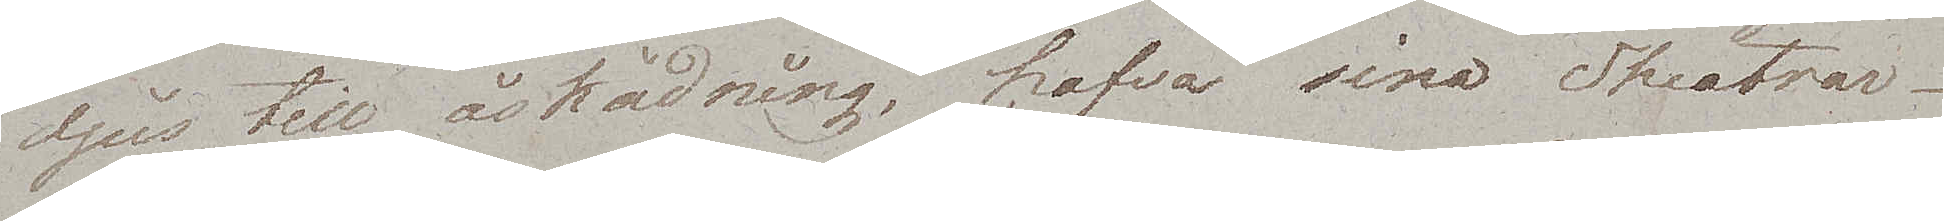djur till åskådning, hafva sina Theatrar.
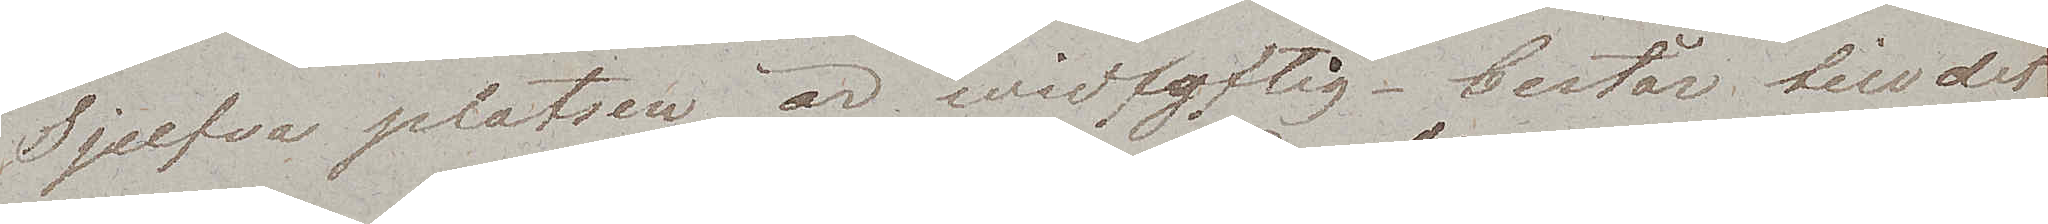Sjefva platsen är widlyftig – består till det
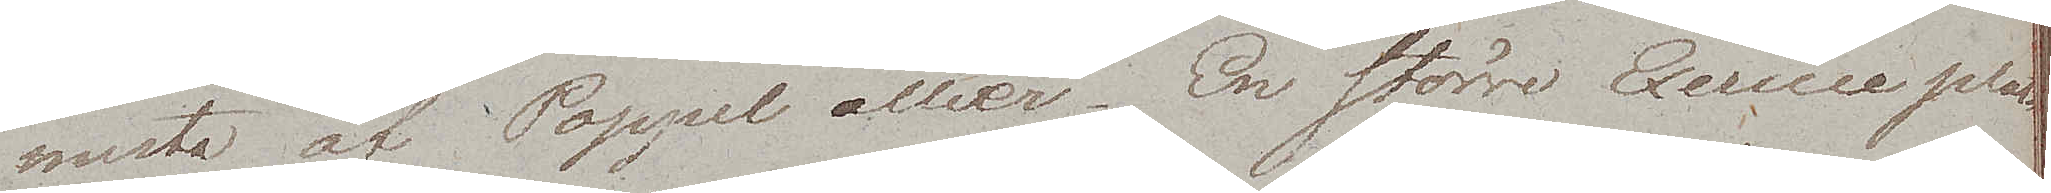mesta av Poppel alléer. En större Exercise plats
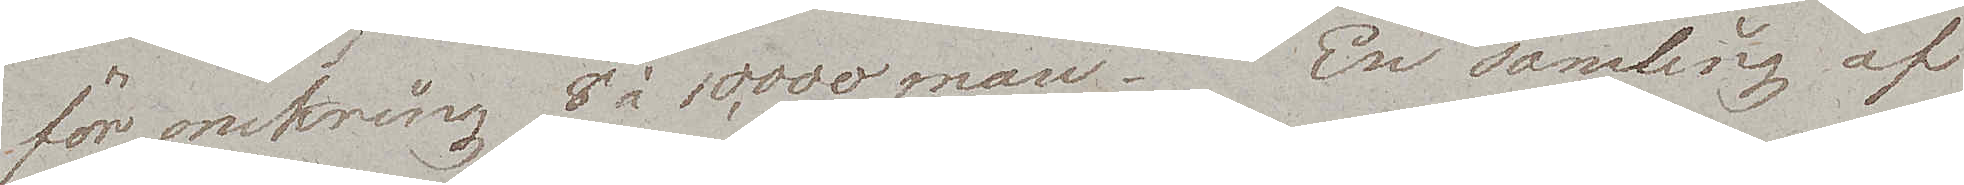för omkring 8 à 10,000 man. En samling af
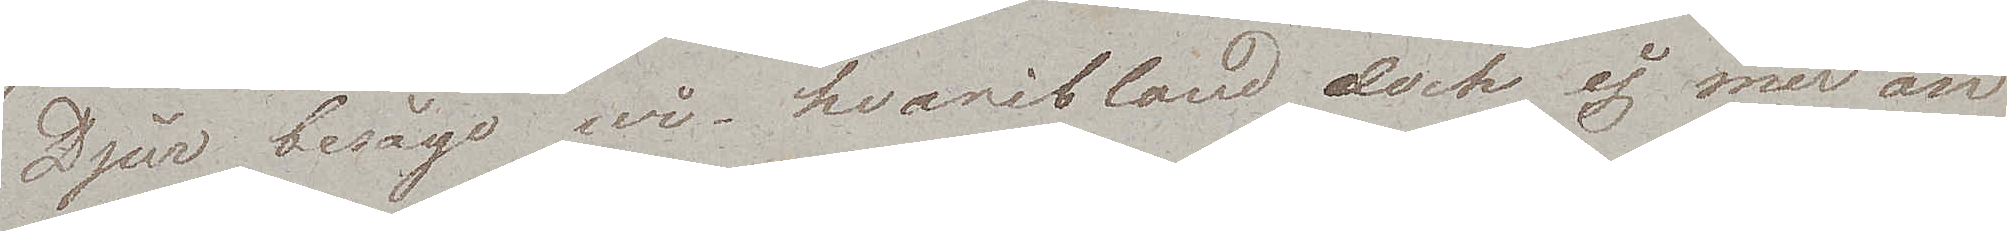Djur besågo wi, hvaribland dock ej mer än
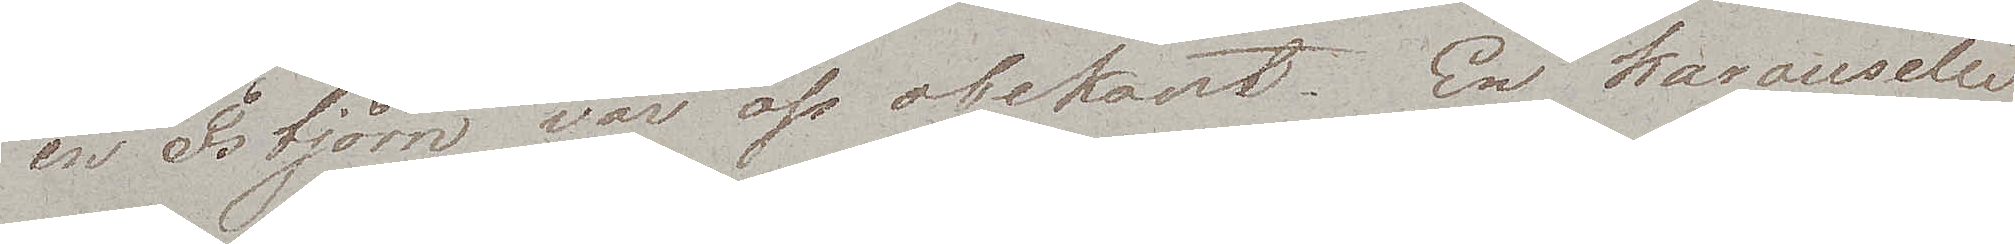en Isbjörn var oss obekant. En karouselle
